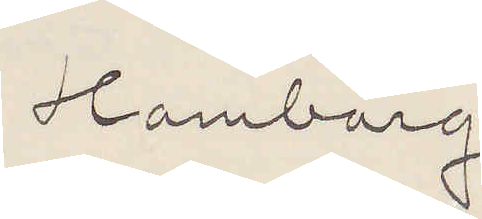Hamburg
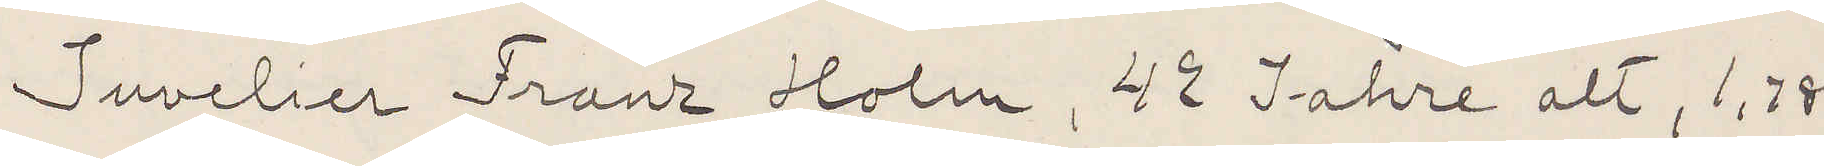Juvelier Franz Holm, 42 Jahre alt, 1,78
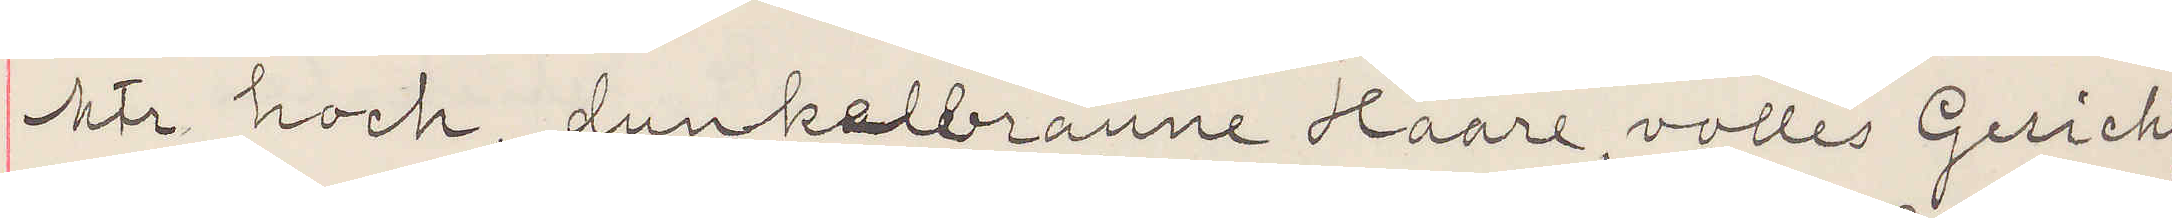 mtr hoch, dunkelbranne Haare, volles Gericht,
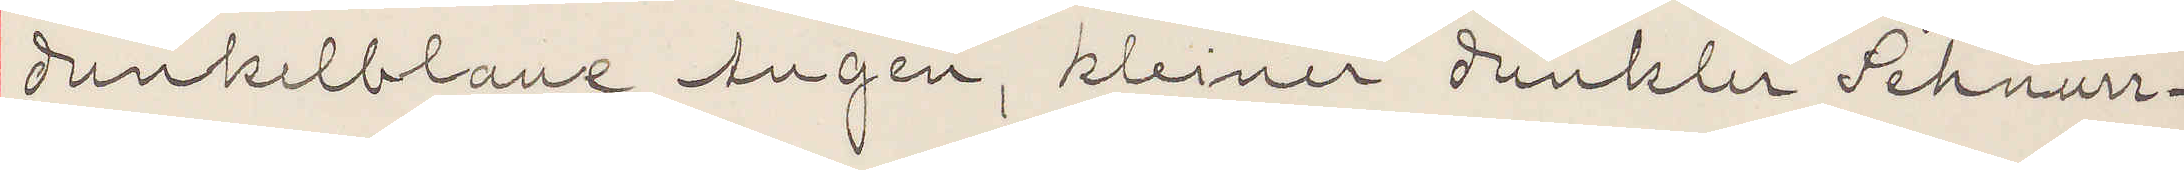dunkelblaue Augen, kleiner dunkler Schnurr¬
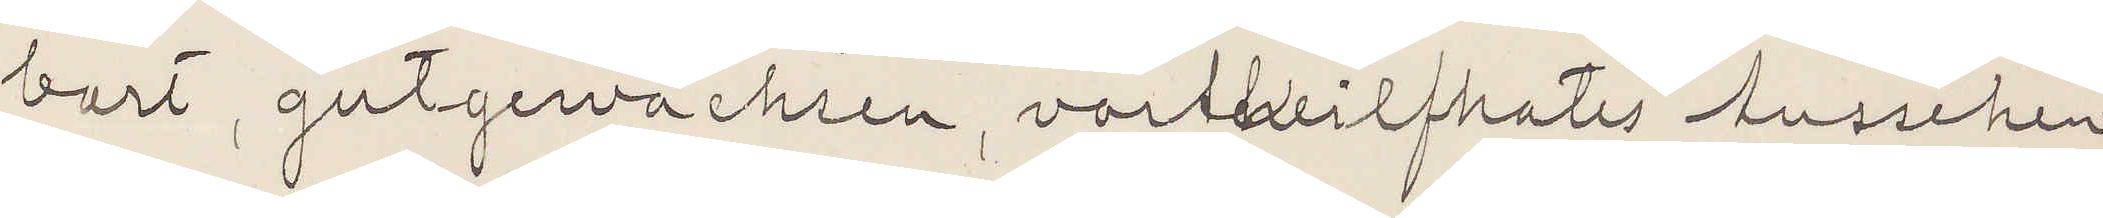bart, gutgewachsen, vortheilfhates Aussehen
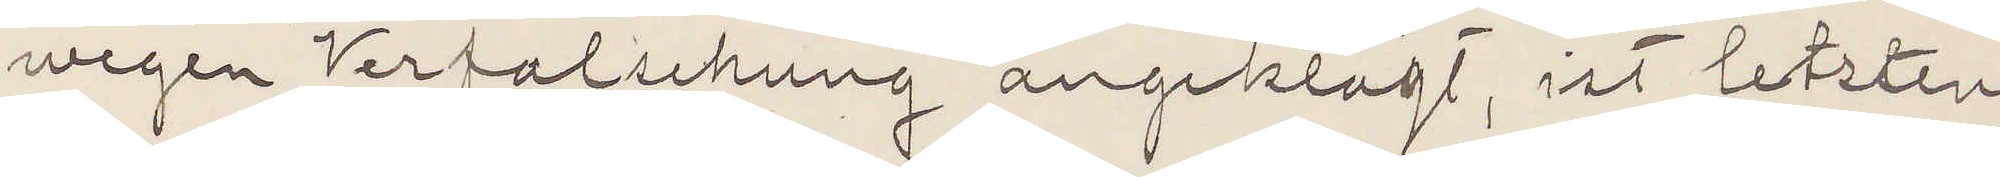wegen Verfalschung angeklagt, ist letzten
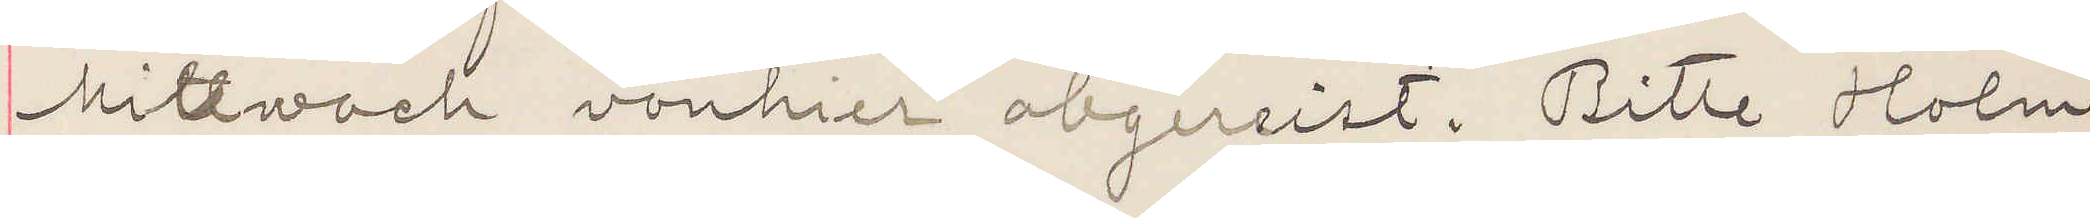Mittwoch vonhier abgereist. Bitte Holm
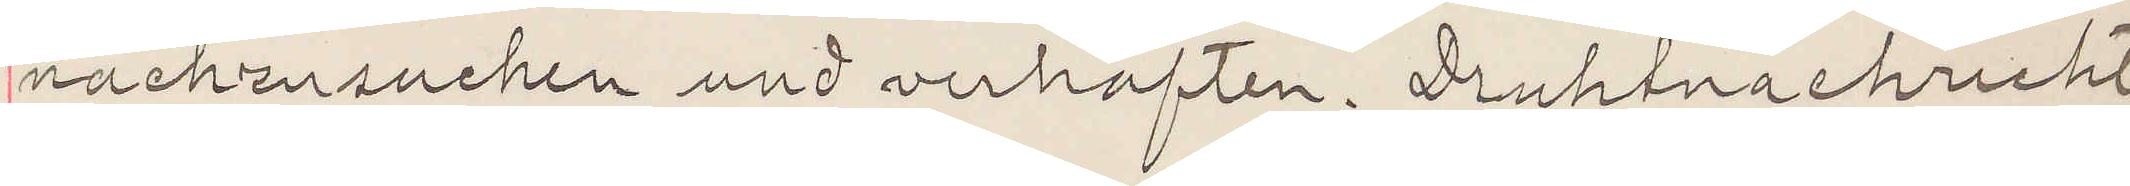nachzusuchen und verhaften. Druhtnachricht.
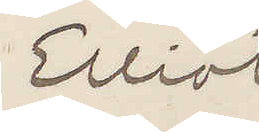Elliot
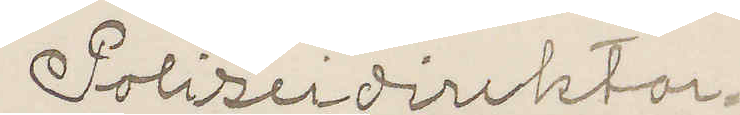Polizeidirektor.
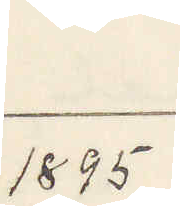1895
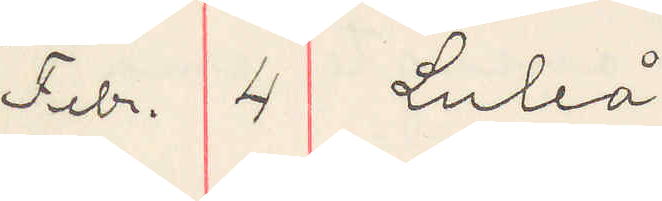Febr. 4 Luleå
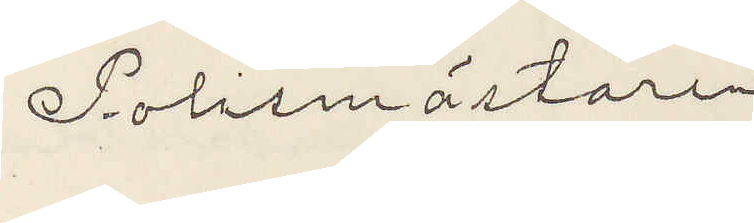Polismästaren
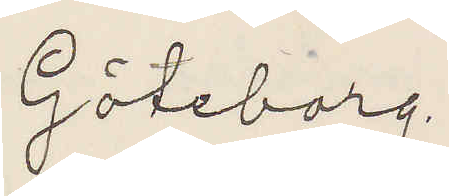Göteborg.
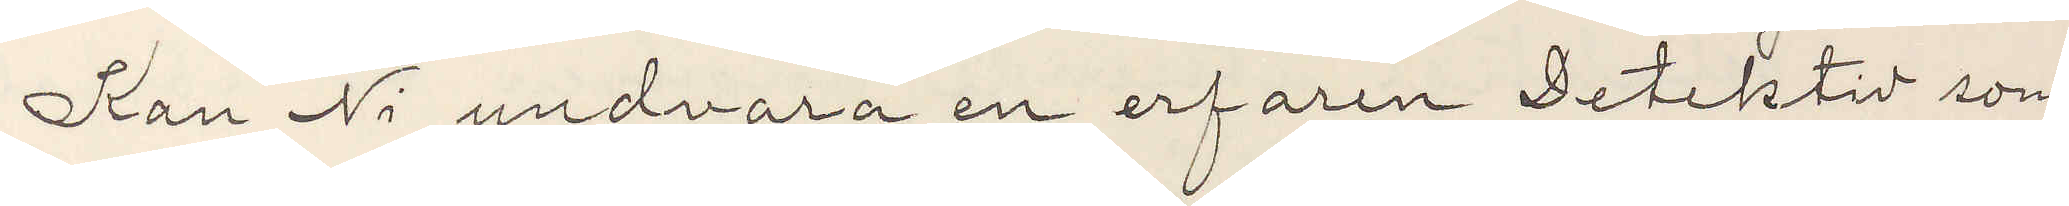Kan Ni undvara en erfaren Detektiv som
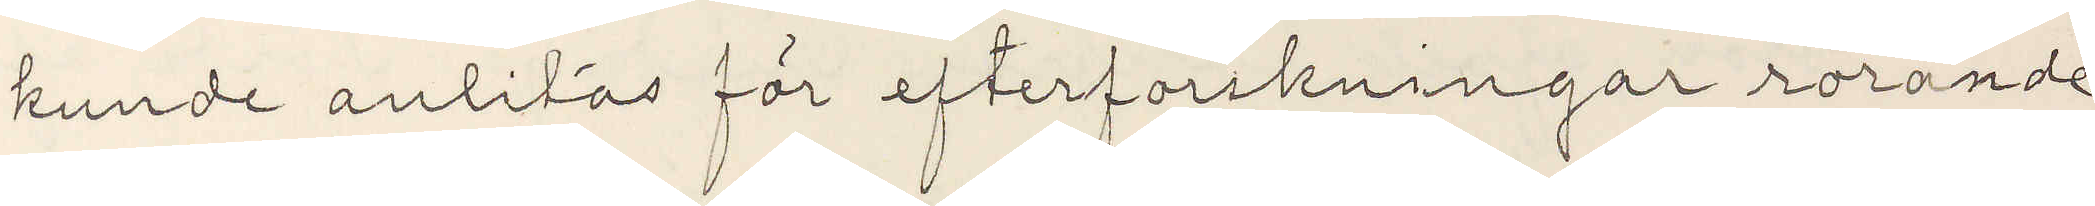kunde anlitas för efterforskningar rörande
